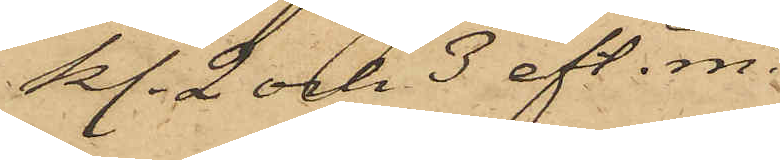kl. 2 och 3 eft. m.
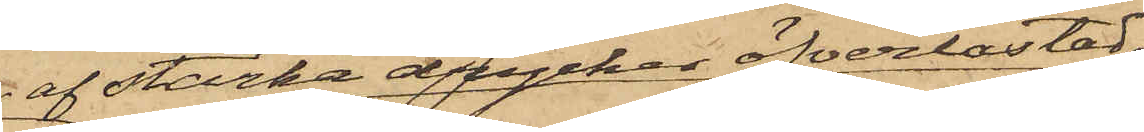 af starka drycker öfverlastad
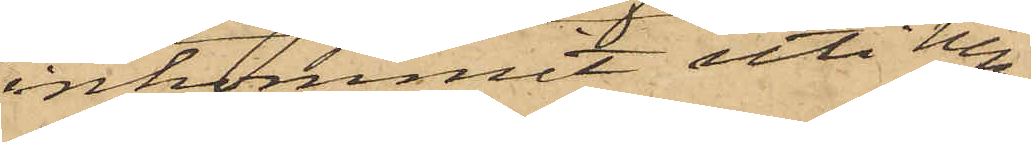inkommit uti hen¬
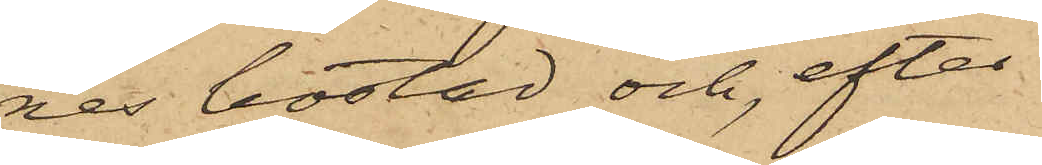nes bostad och, efter
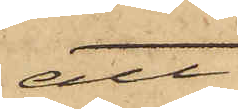att
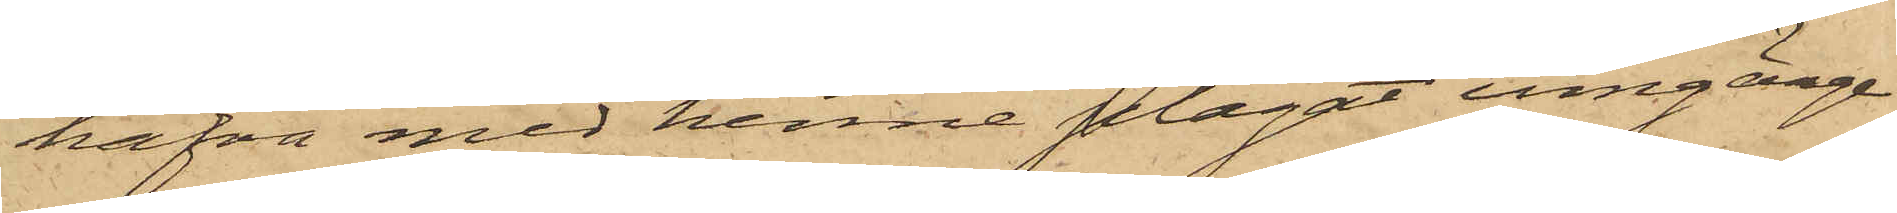hafva med henne plägat umgänge,
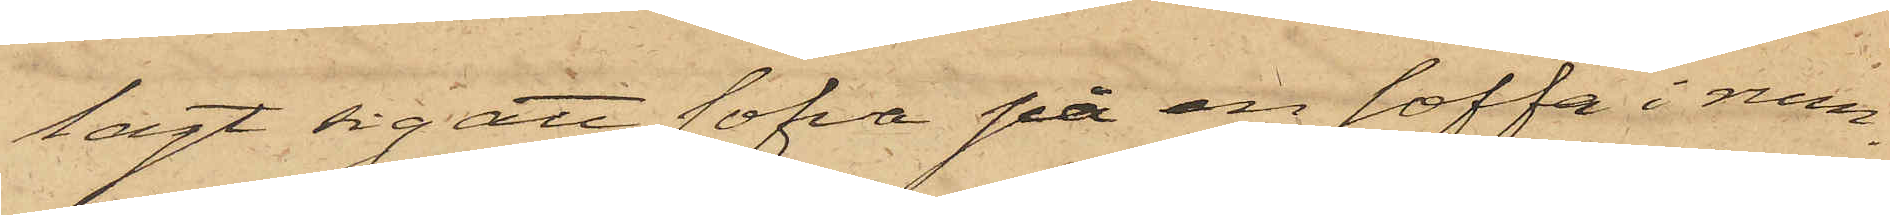lagt sig att sofva på en soffa i rum¬
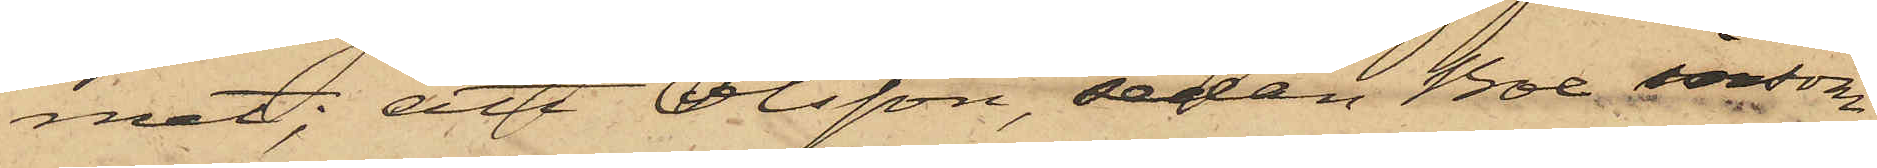met; att Olsson, sedan Boe insom¬
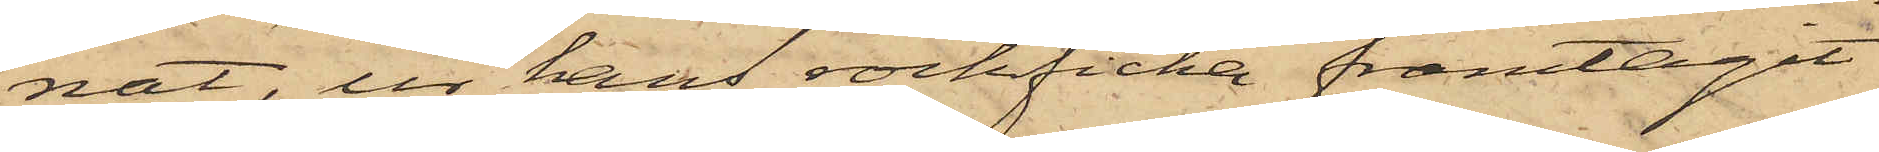nat, ur hans rockficka framtagit
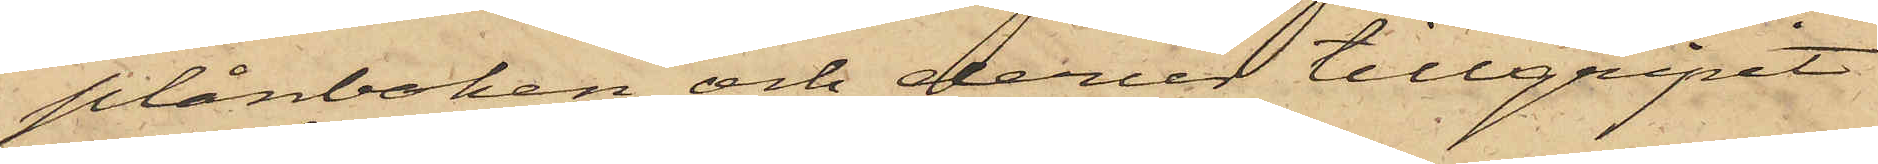plånboken och derur tillgripit
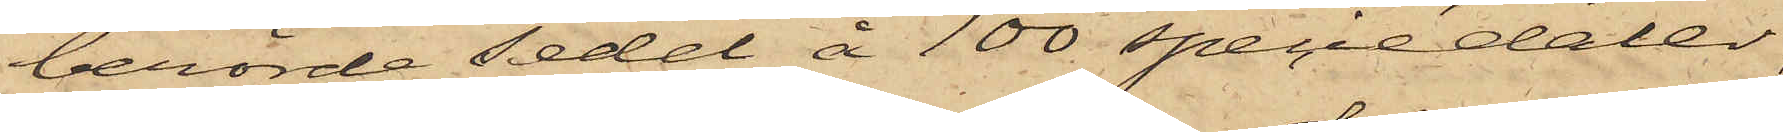berörde sedel å 100 speciedaler,
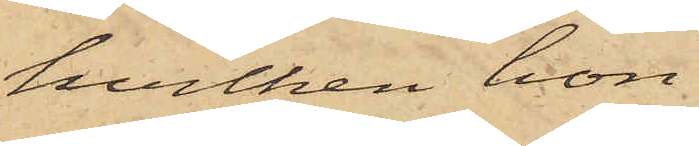hvilken hon
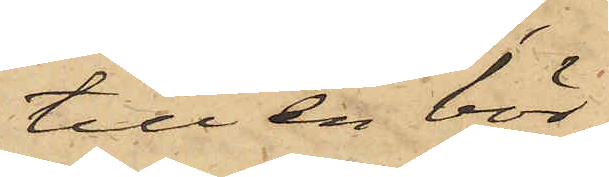till en bör¬
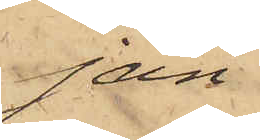jan
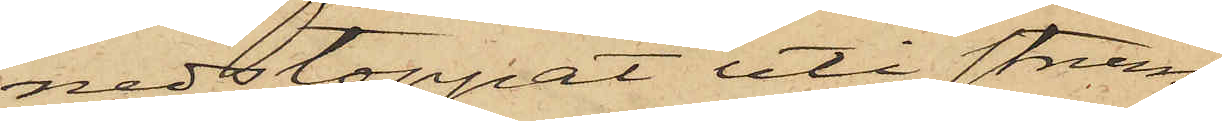nedstoppat uti strum¬
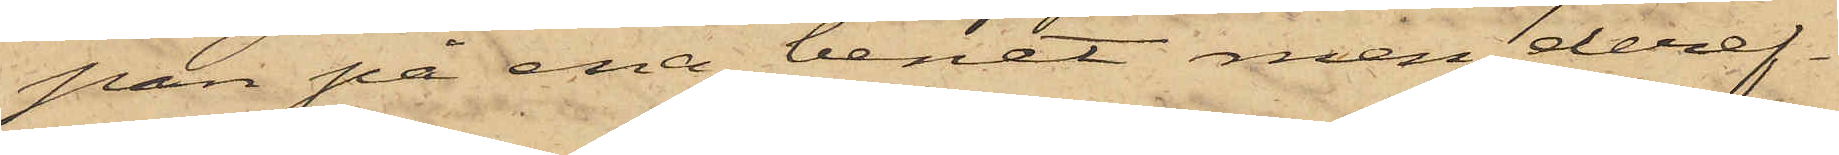pan på ena benet men deref¬
